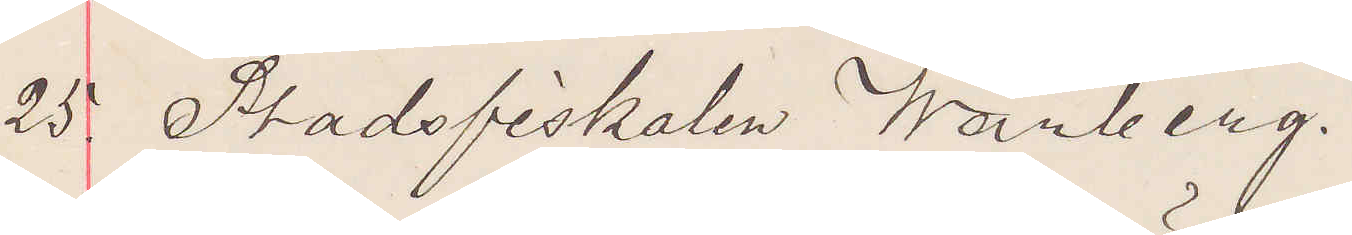25. Stadsfiskalen Warberg.
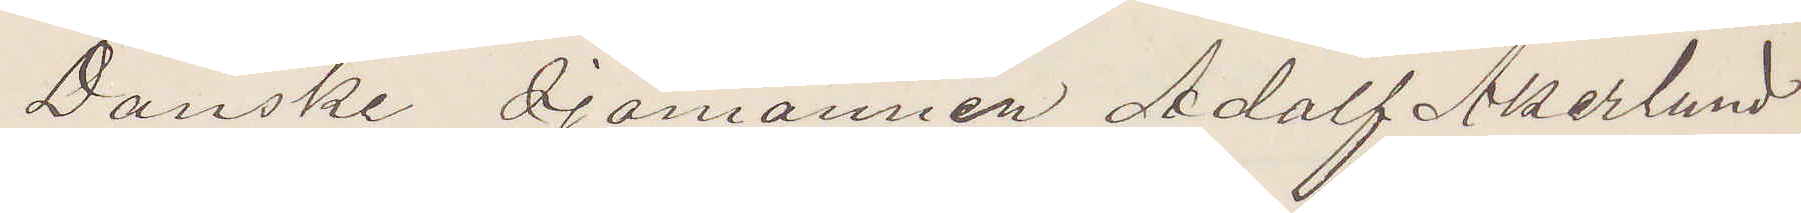Danske Sjömannen Adolf Åkerlund
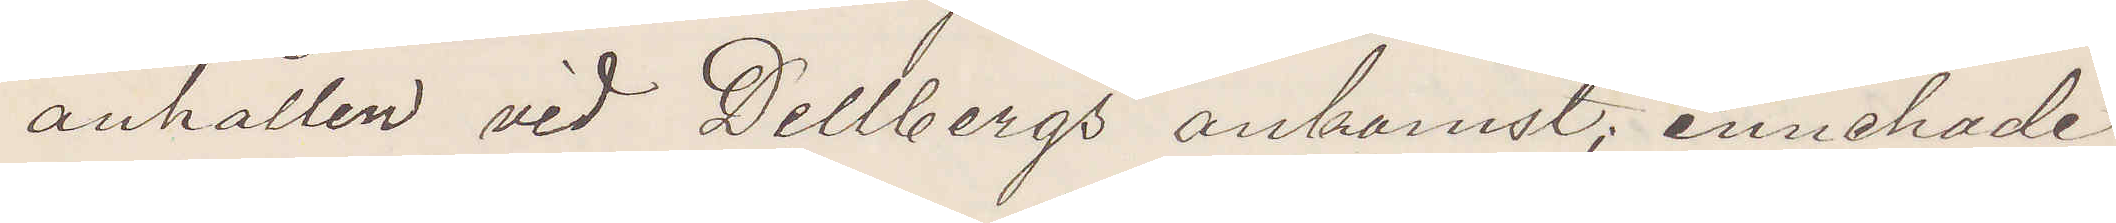anhållen vid Dellbergs ankomst; innehade
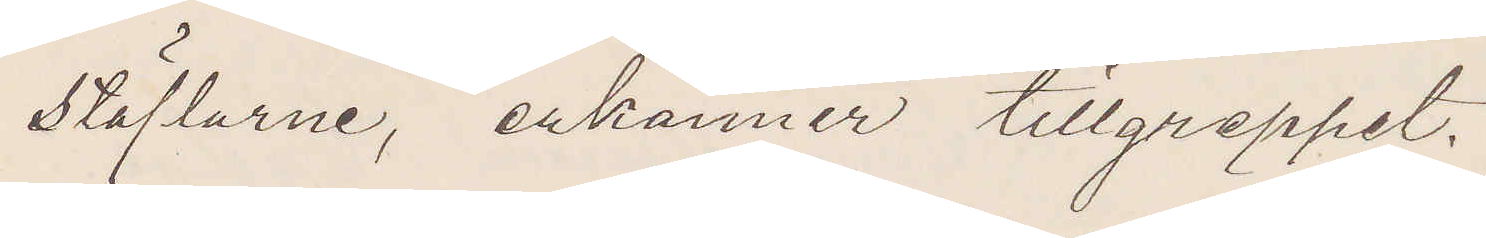stöflarne, erkänner tillgreppet.
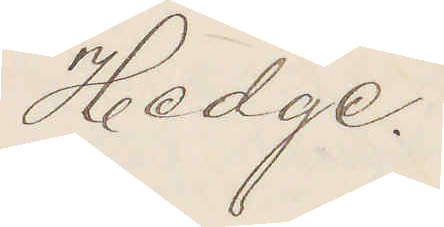Hedge.
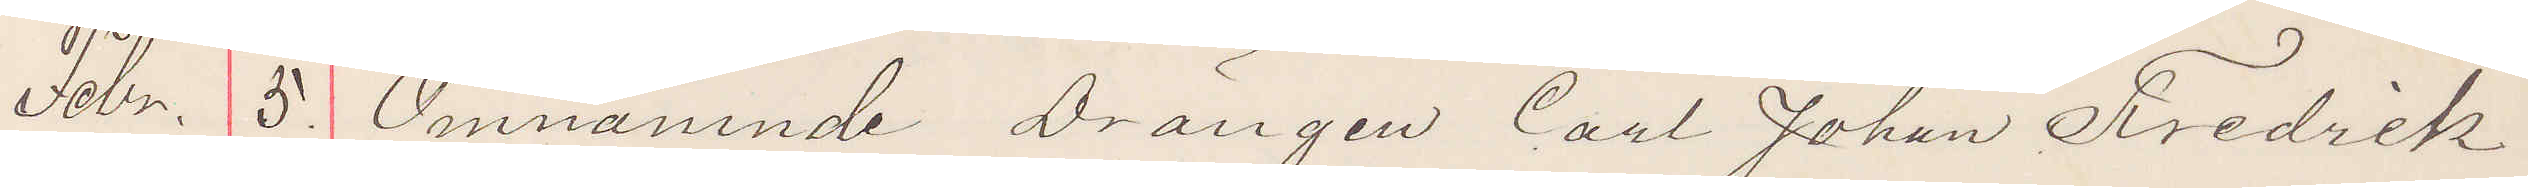Febr. 5. Omnämnde drängen Carl Johan Fredrik
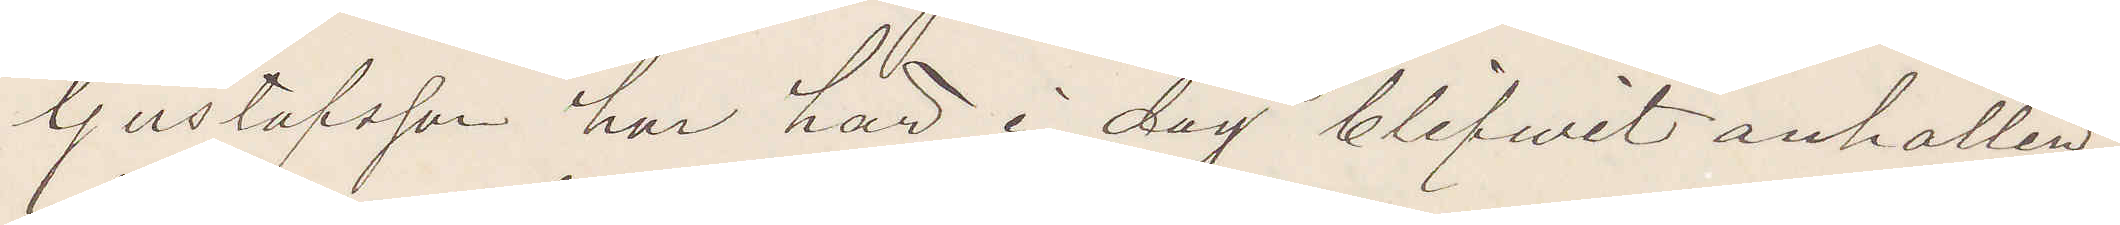Gustafsson har här i dag blifvit anhållen,
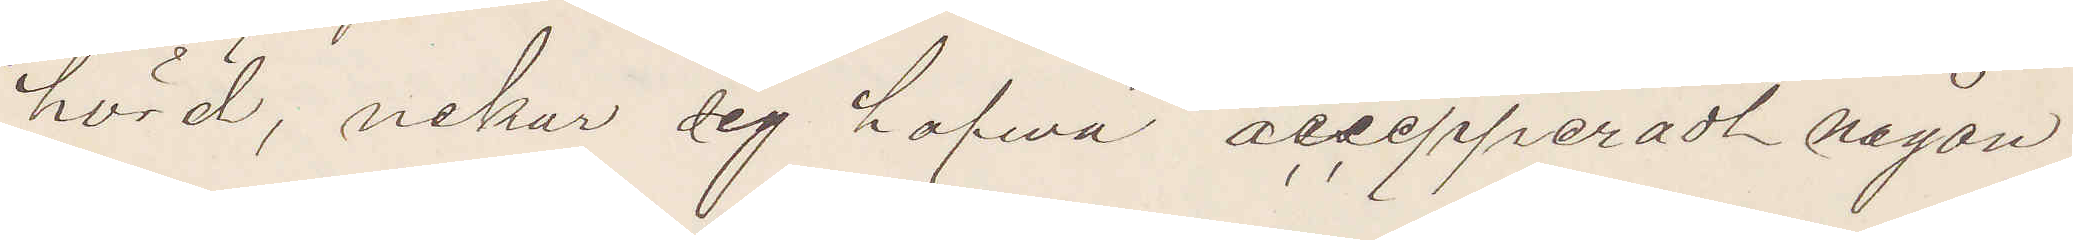hörd, nekar dig hafva accepperadt någon
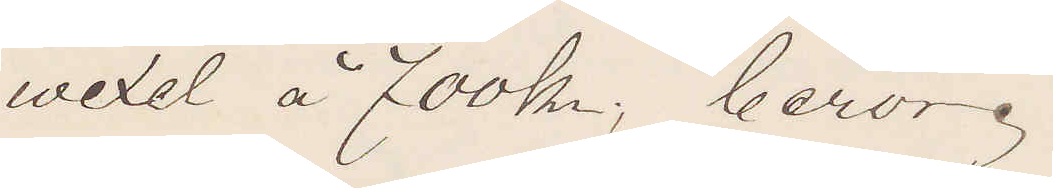wexel å 700 kr; beror.
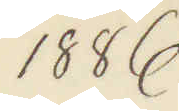1886
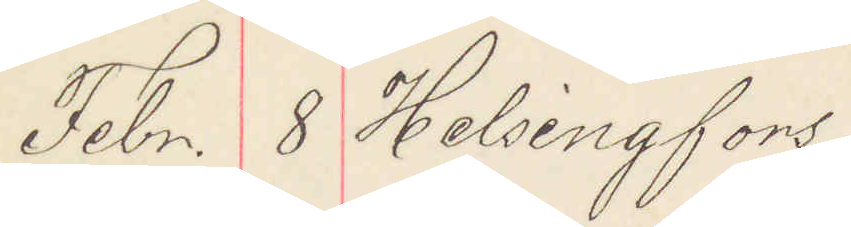Febr. 8. Helsingfors
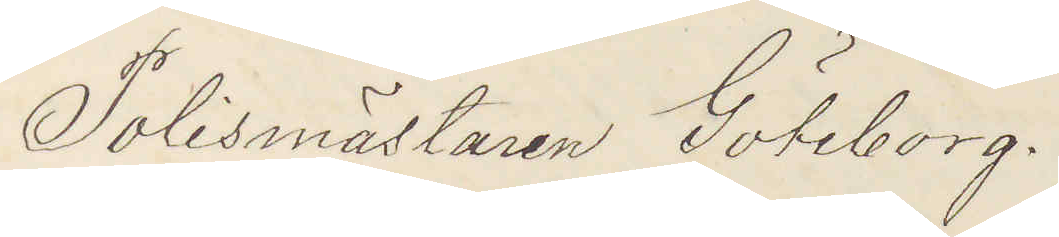Polismästaren Göteborg.
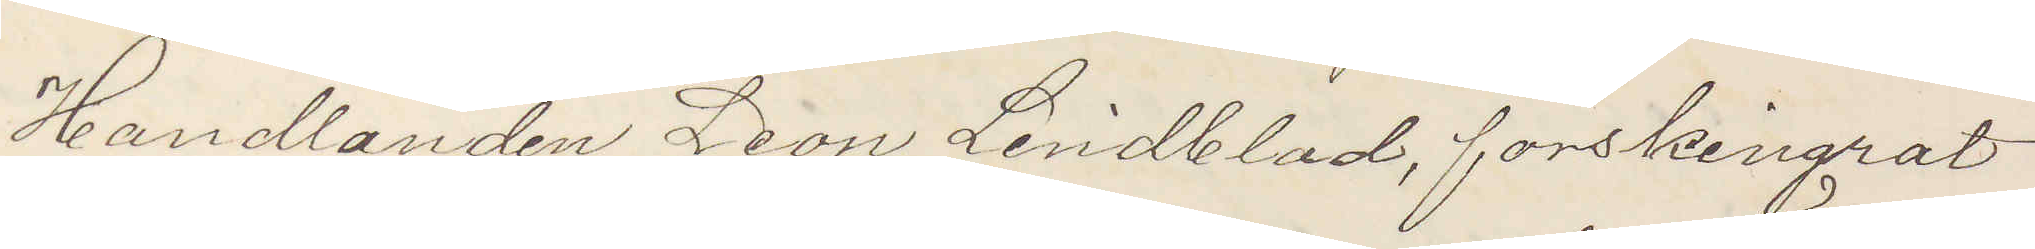Handlanden Leon Lindblad, förskingrat
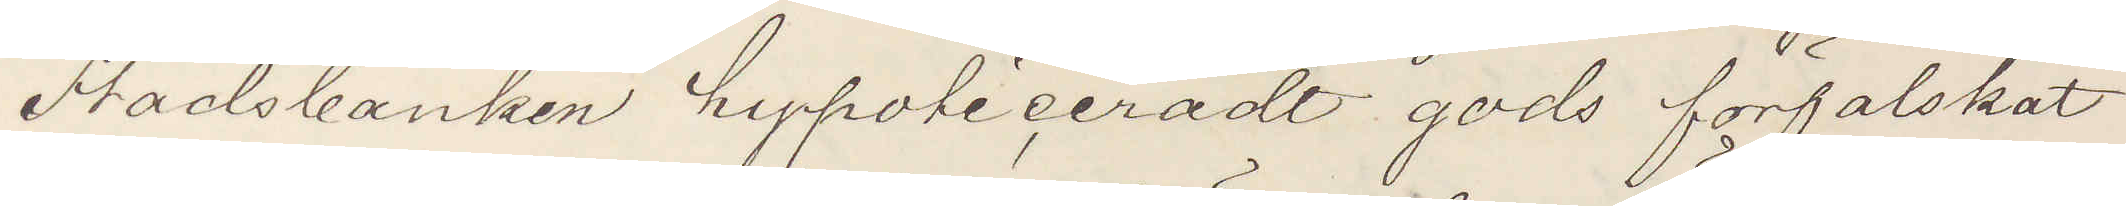Stadsbanken hypoticeradt gods förfalskat
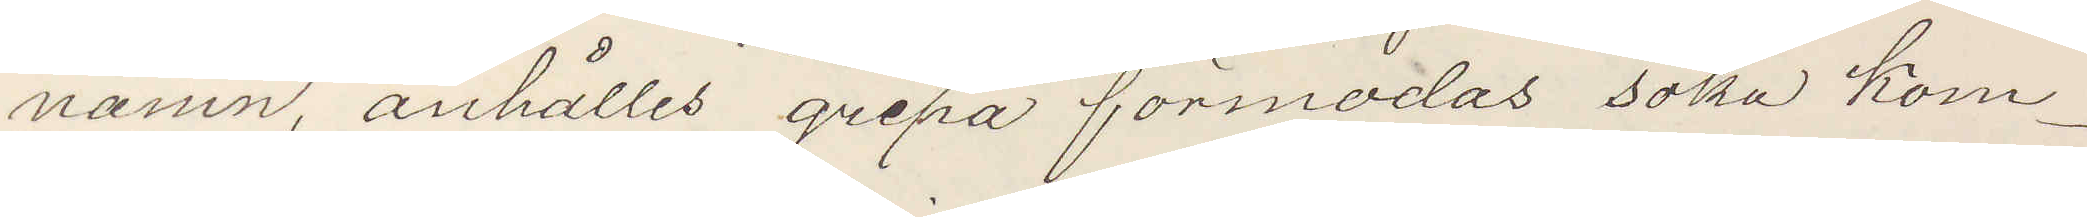namn, anhålles gripa förmodas söka kom¬
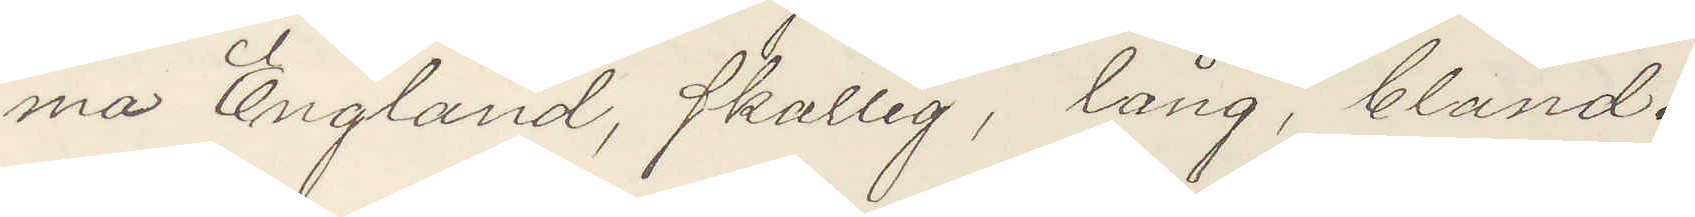ma England, skallig, lång, blånd.
